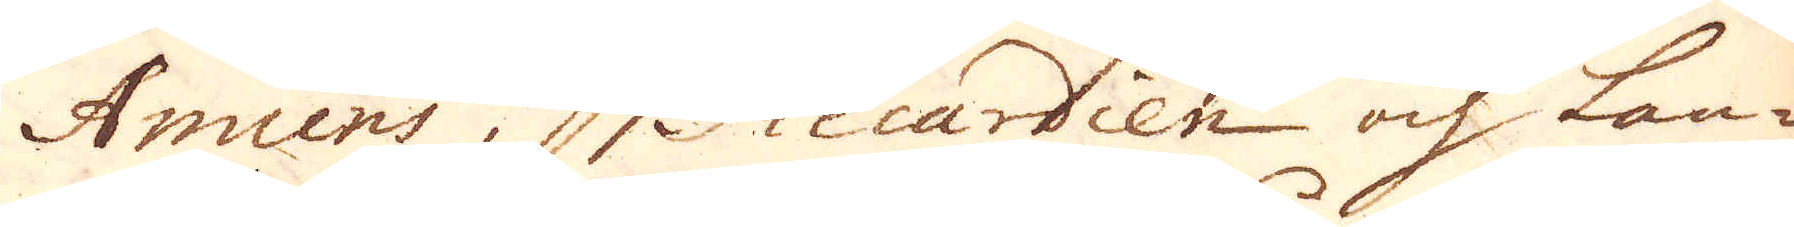Amiens i Piccardien och Lan-
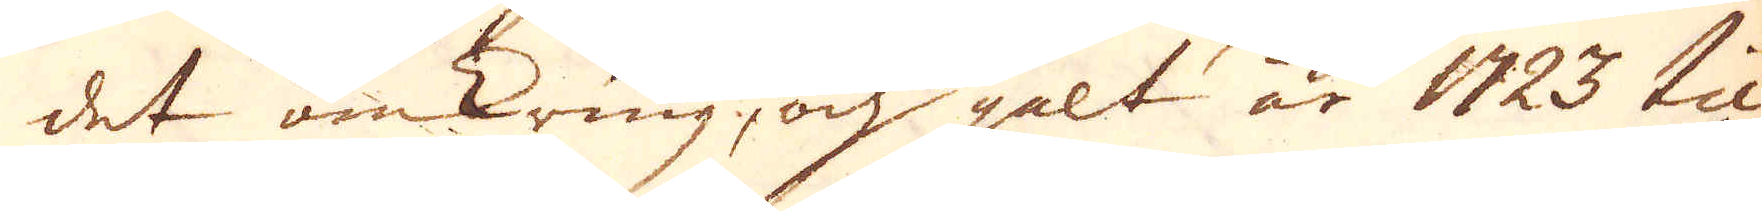det omkring, och gelt år 1723 til
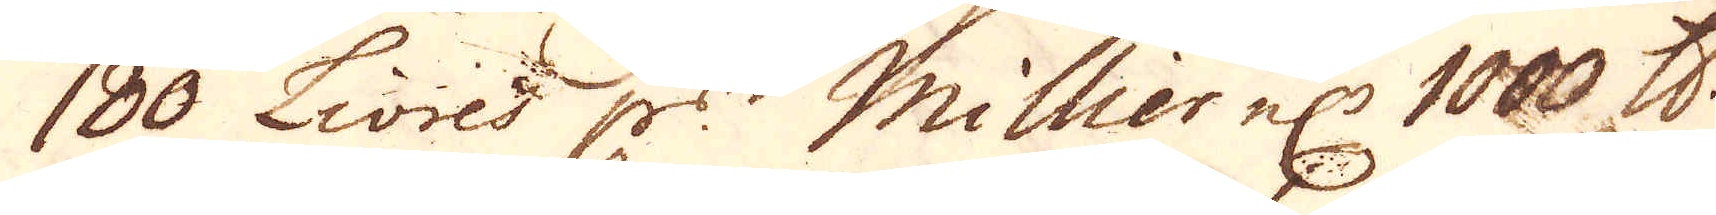180 Livres p:r Millier el: 1000 skålpund.
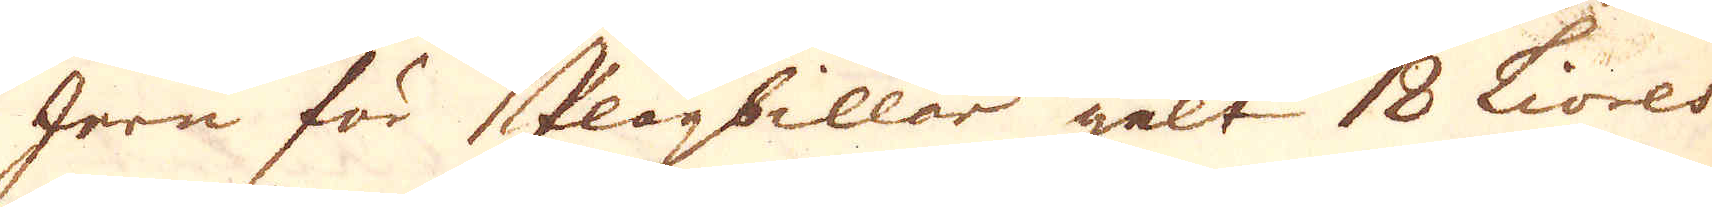Jern för plogbillar gelt 18 Livres
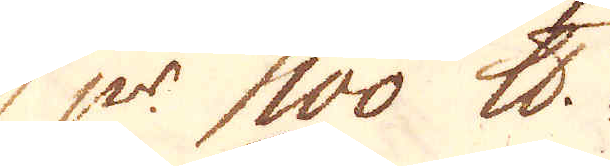p:r 100 skålpund.
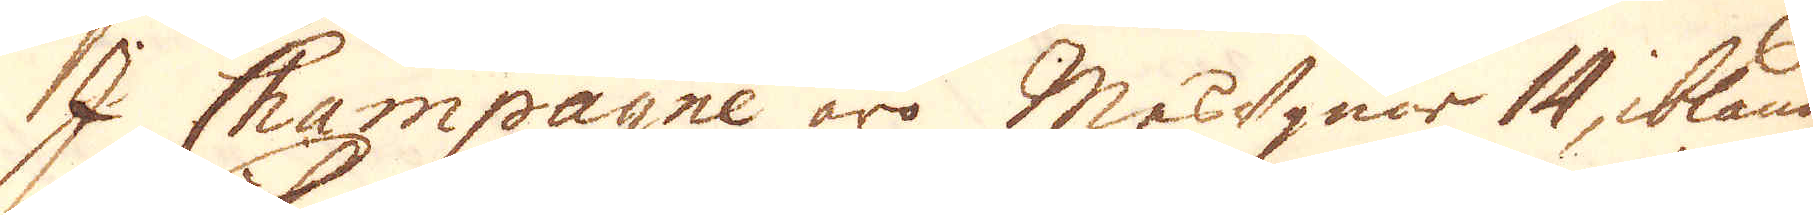I Champagne äro Masugnar 14, ibland
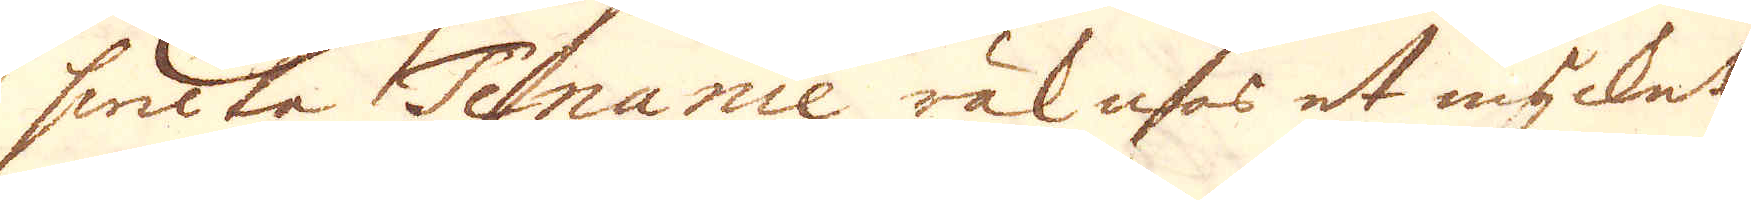hwilka Tenanie räknas et mycket
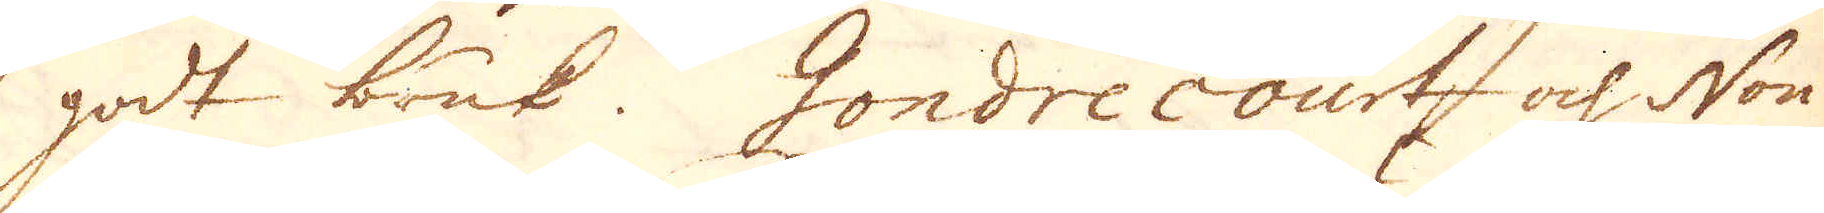godt bruk. Gondrecourt och Non-
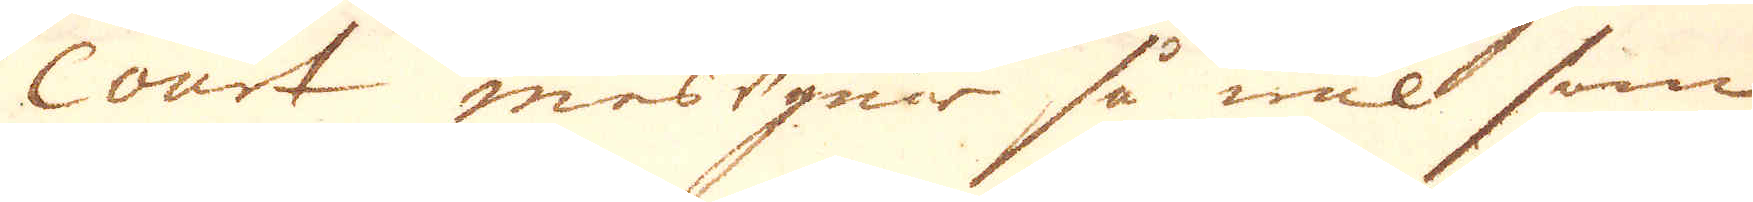Court masugnar så wäl som
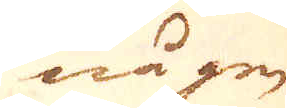någon
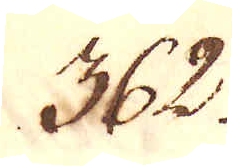362.
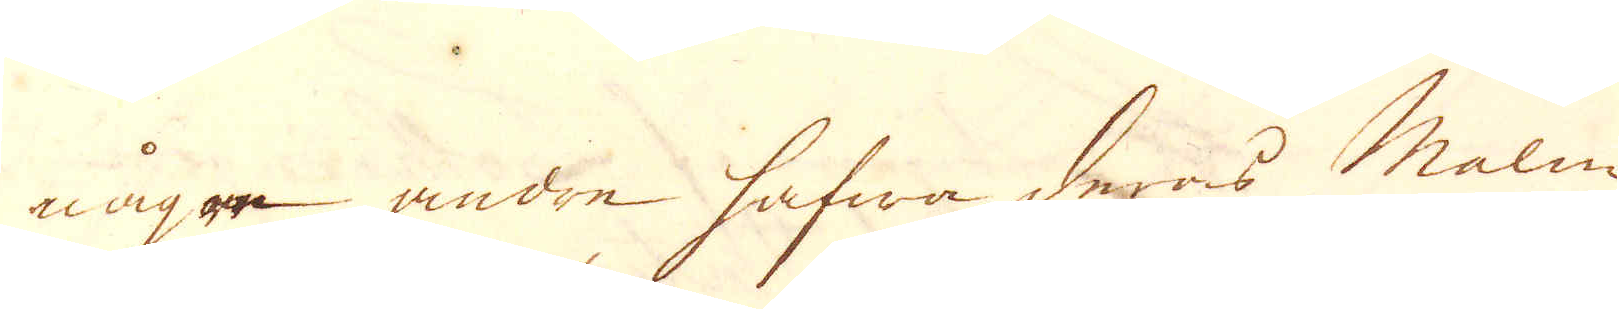någre andre hafwa deras malm
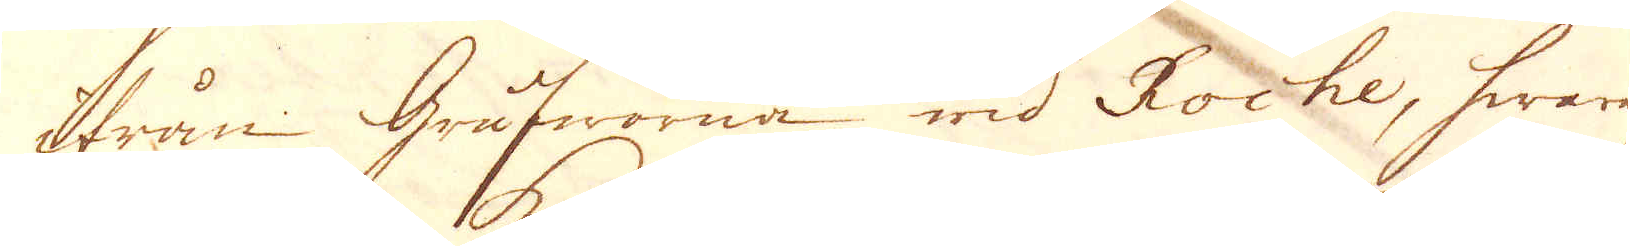ifrån grufworna wid Roche, hwarest
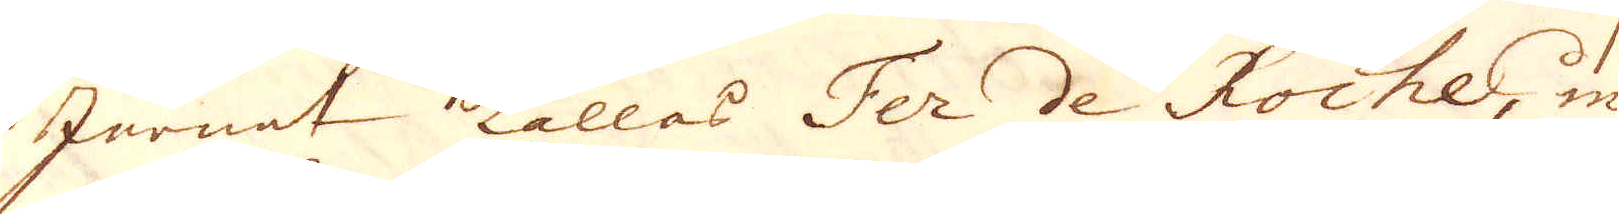Jernet kallas Fer de Roche, m
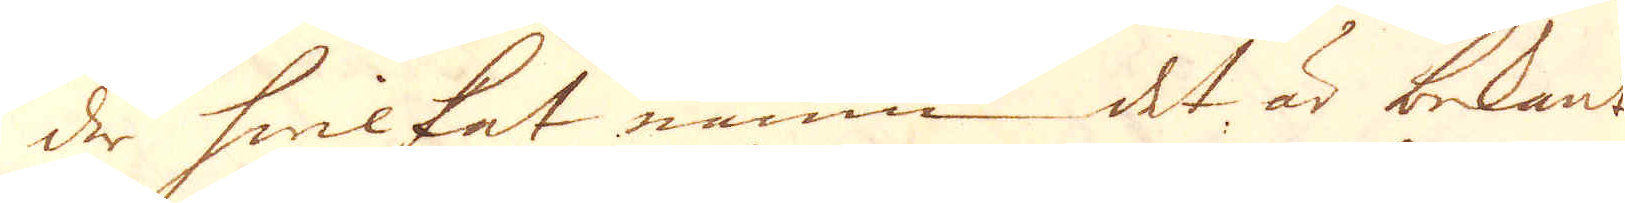der hwilket namn det är bekant
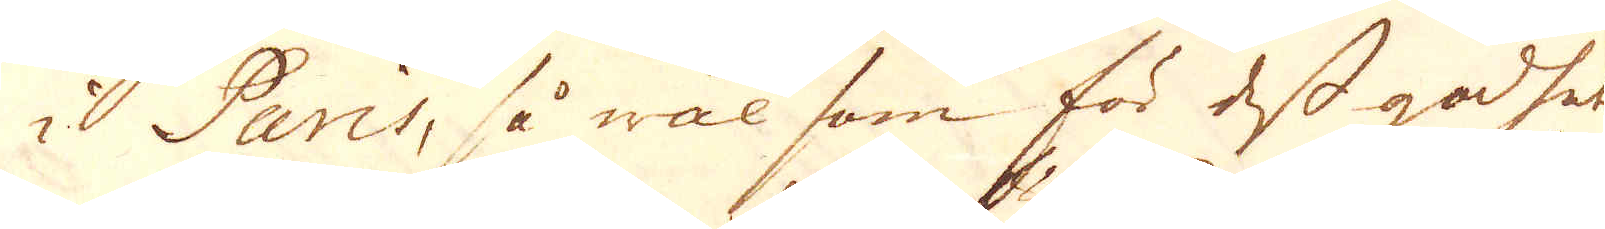i Paris, så wäl som för dess godhet
